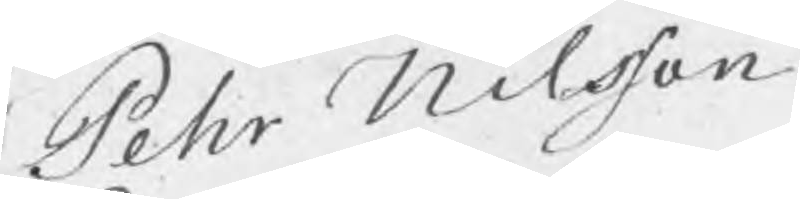Pehr Nilsson
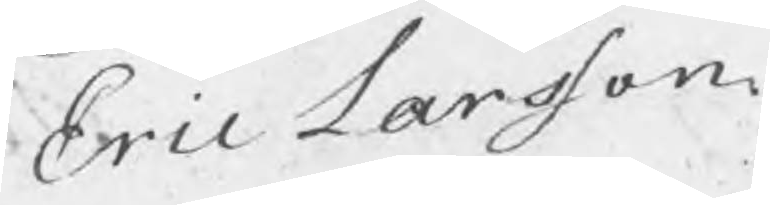Eric Larsson.
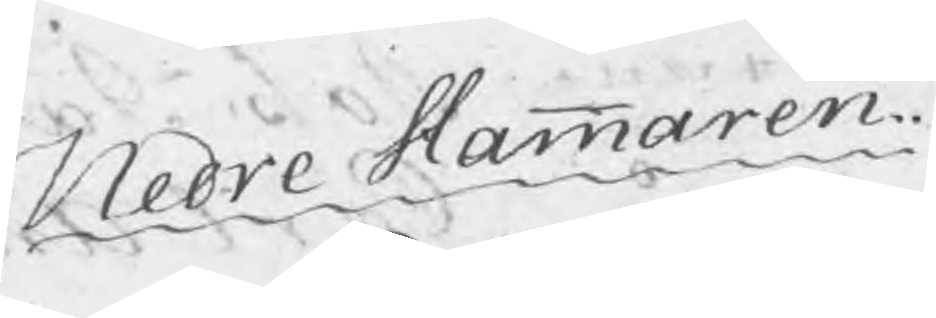Nedre Hammaren
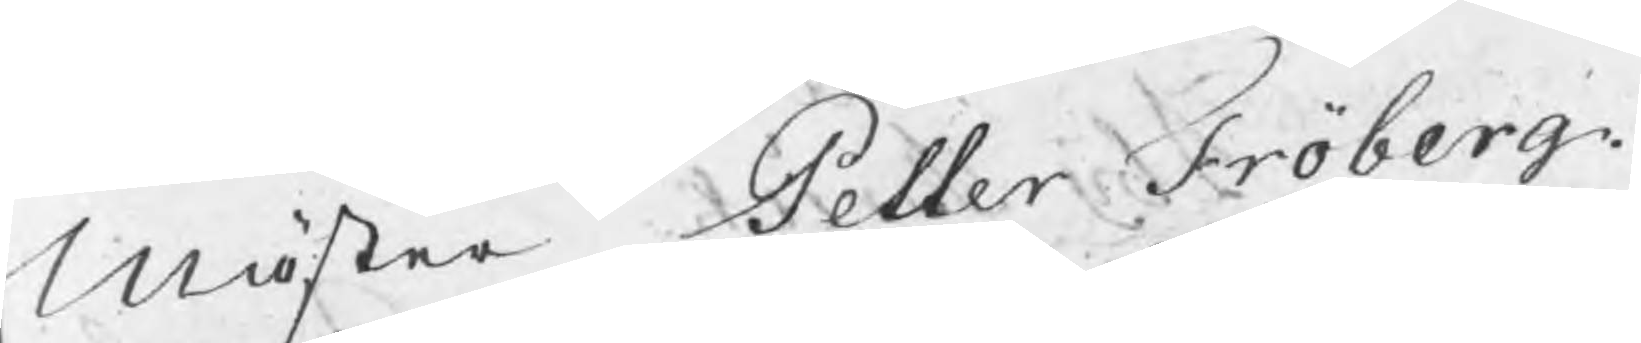Mäster Petter Fröberg.
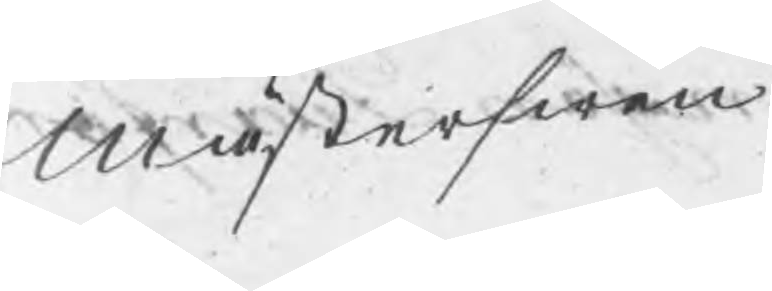Mästerswen
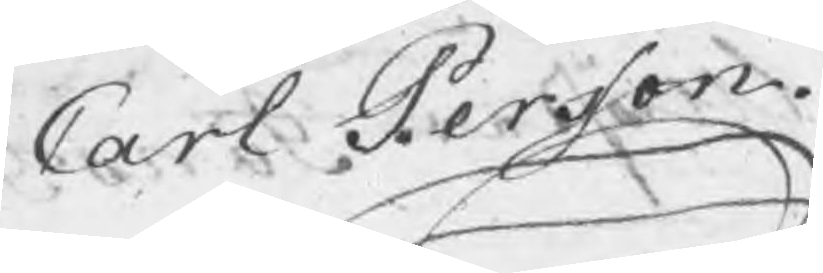Carl Persson.
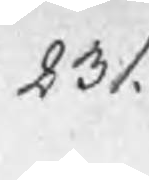231.
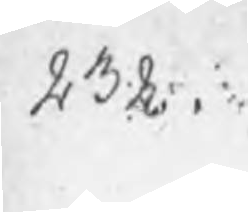232
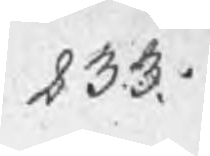233.
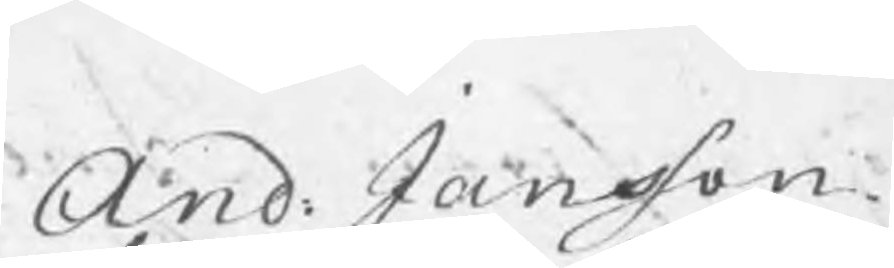And: Jansson
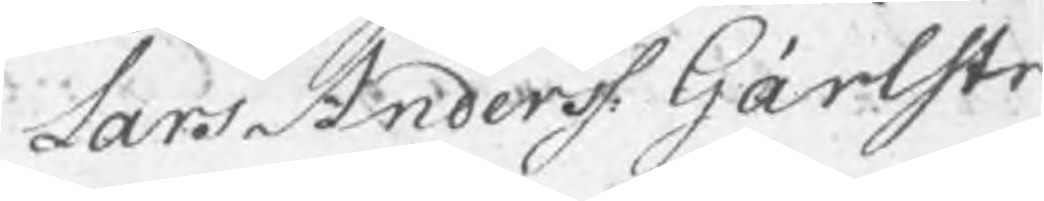Lars Anderss: Gärlstr
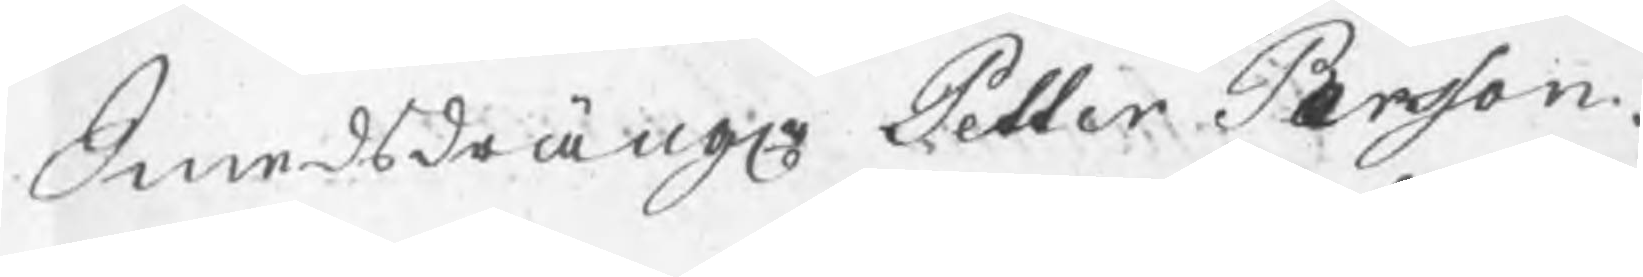Smedsdrängr Petter Persson.
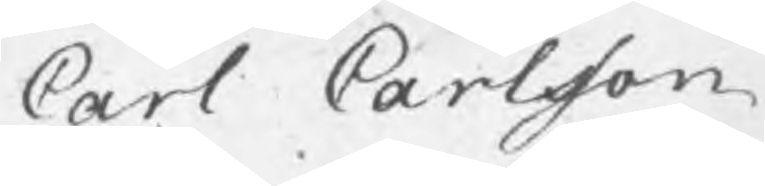Carl Carlsson
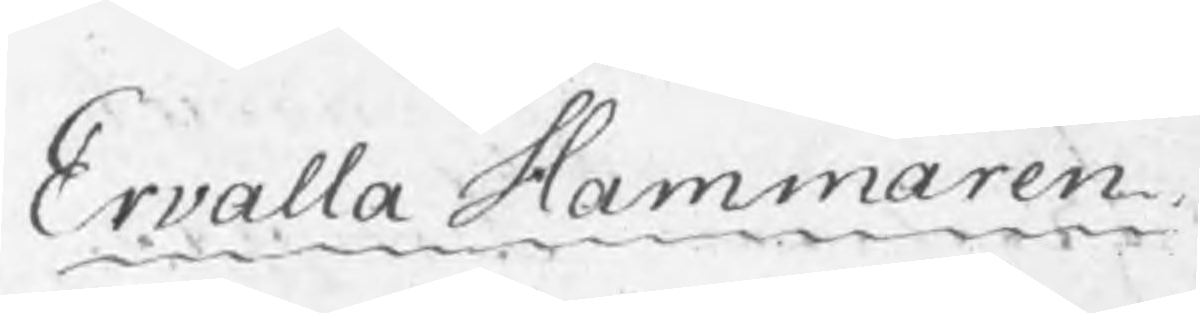Ervalla Hammaren
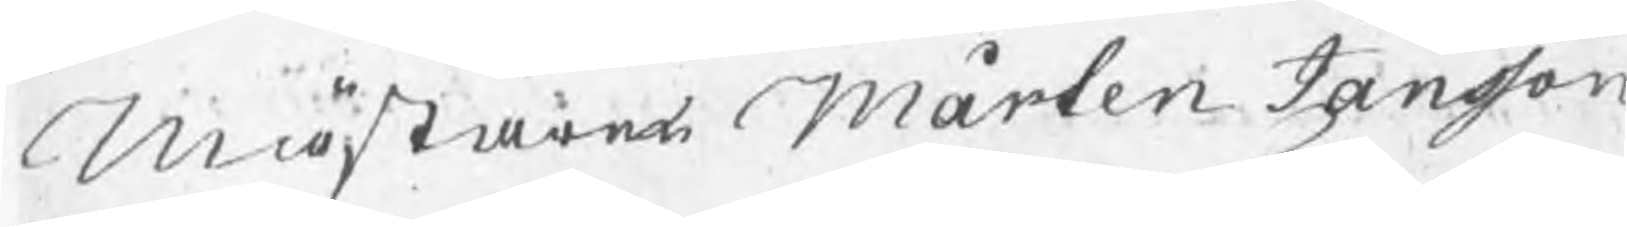Mästaren Mårten Jansson
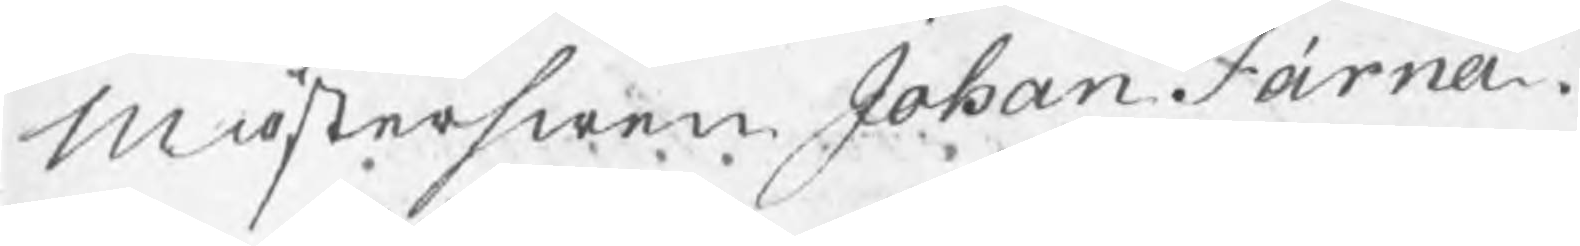Mästerswen Johan Färna
